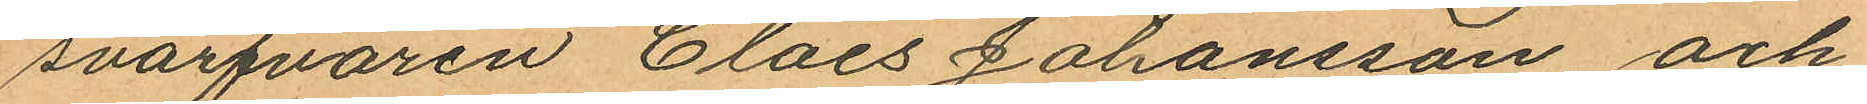svarfvaren Claes Johansson och
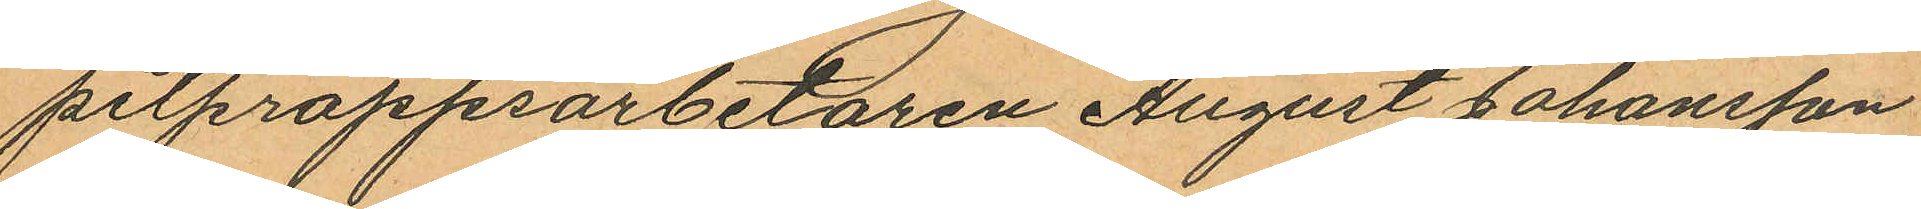pitproppsarbetaren August Johansson
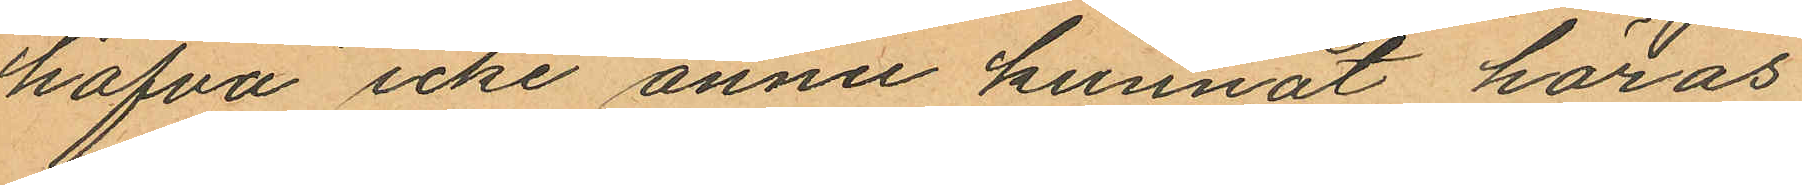hafva icke ännu kunnat höras
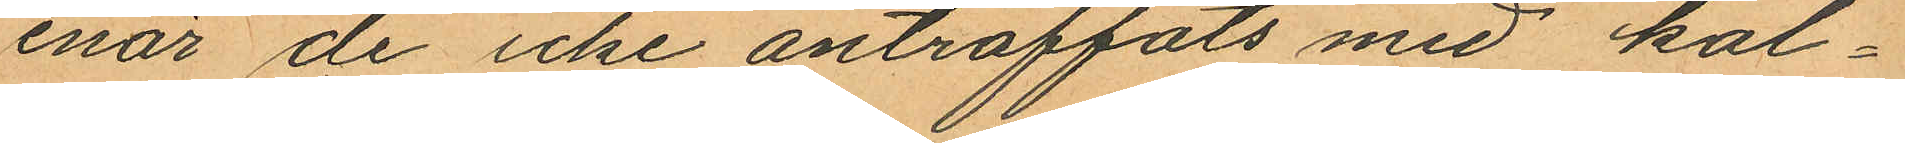enär de icke anträffats med kal¬
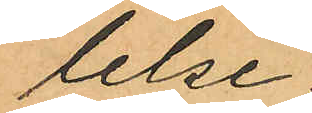lelse.
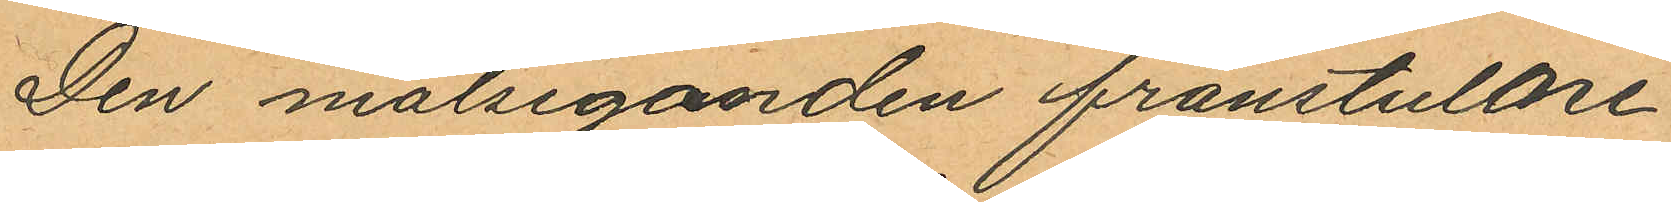Den målseganden franstulne
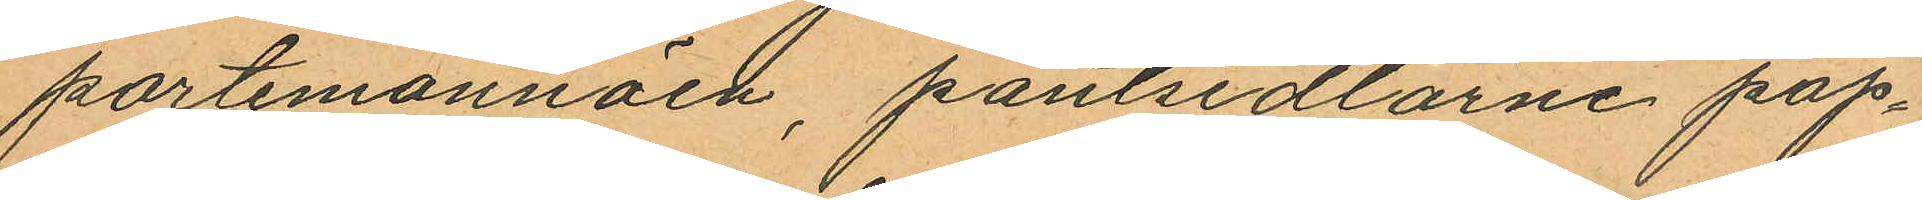portemonnäen, pantsedlarne pap¬
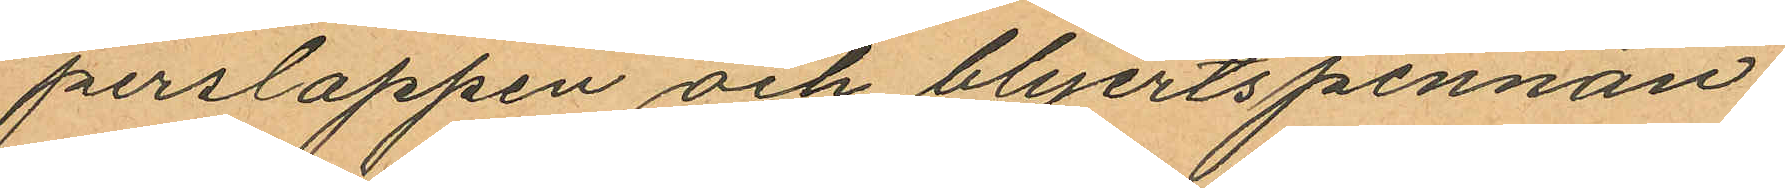perslappen och blyertspennan
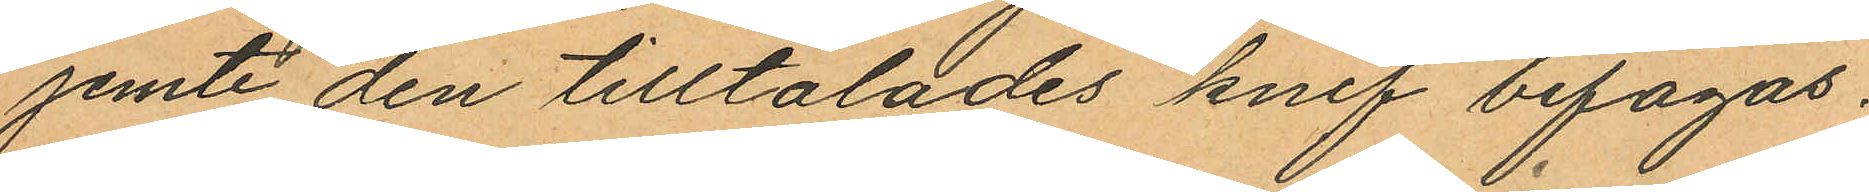jemte den tilltalades knif bifogas.
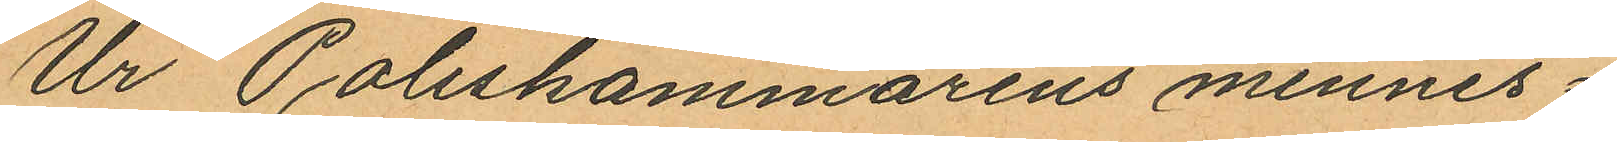Ur Poliskammarens minnes¬
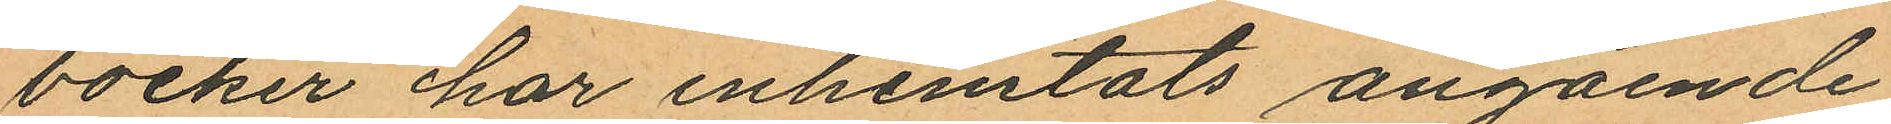böcker har inhemtats angående
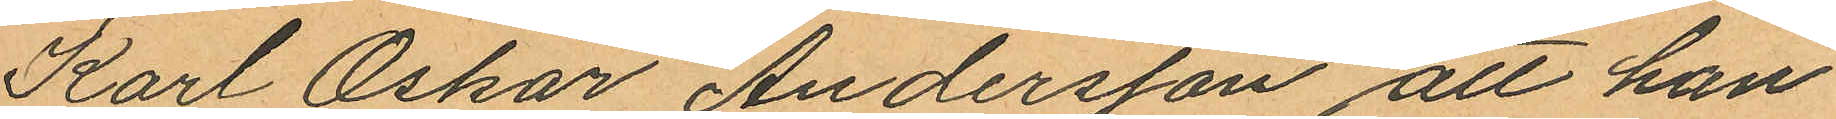Karl Oskar Andersson att han
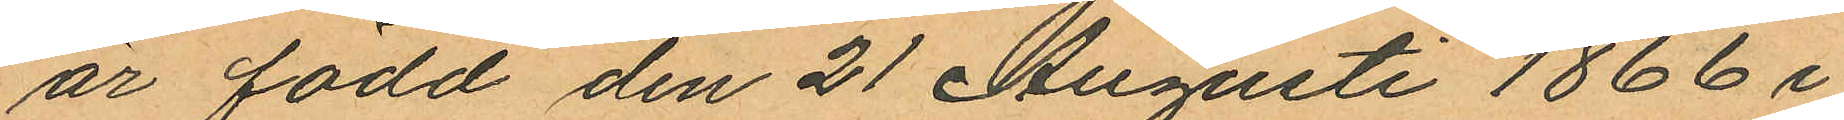är född den 21 Augusti 1866 i
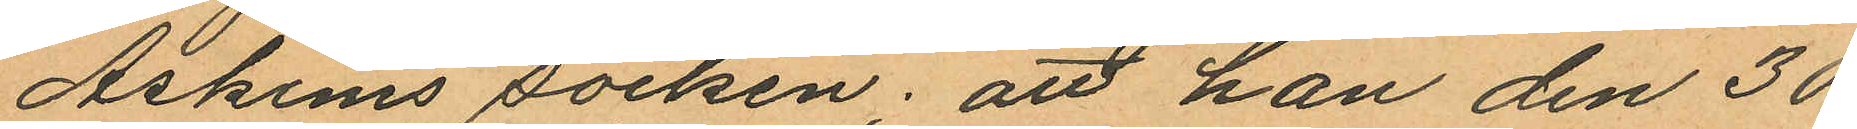Askims socken; att han den 30
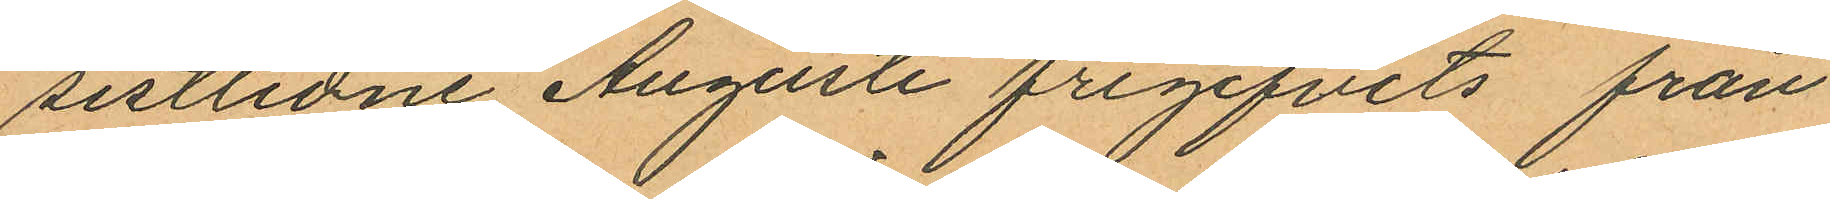sistlidne Augusti frigifvits från
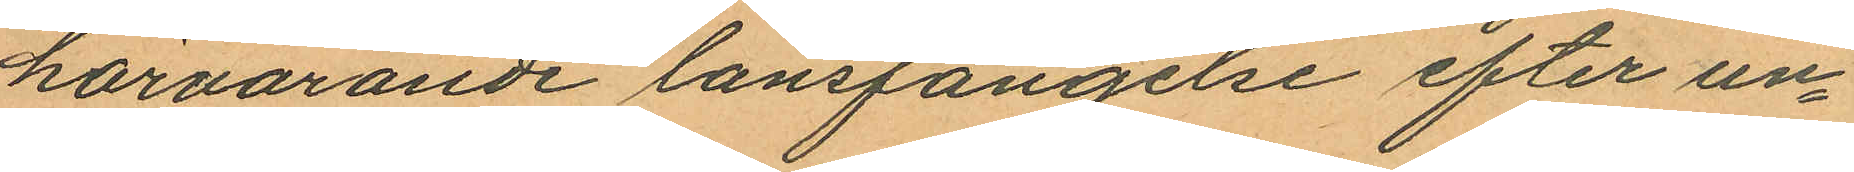härvarande länsfängelse efter un¬
